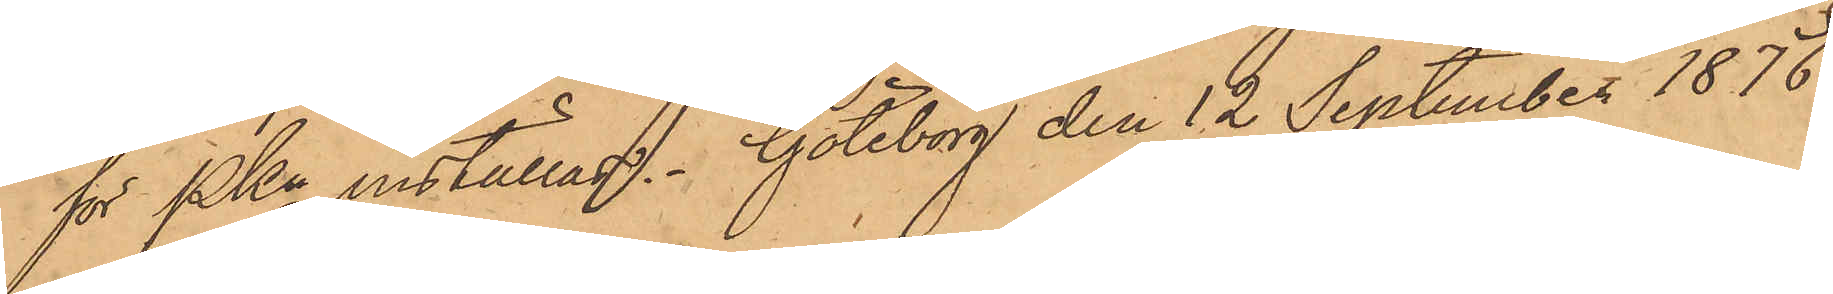för PKn inställas. Göteborg den 12 September 1876.
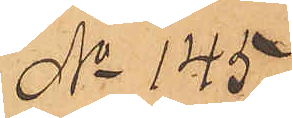No 145
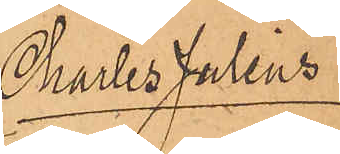Charles Julius
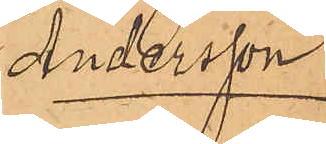Andersson
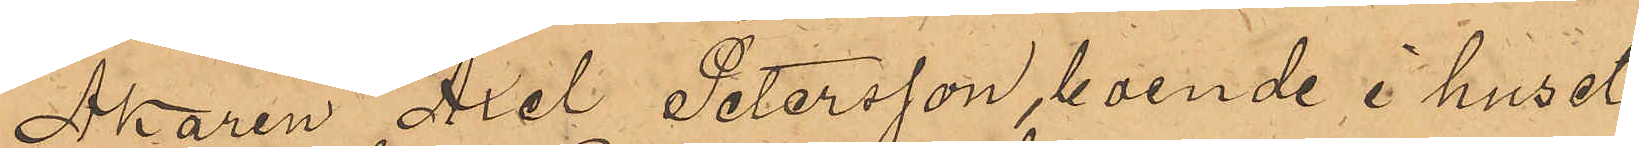Åkaren Axel Petersson, boende i huset
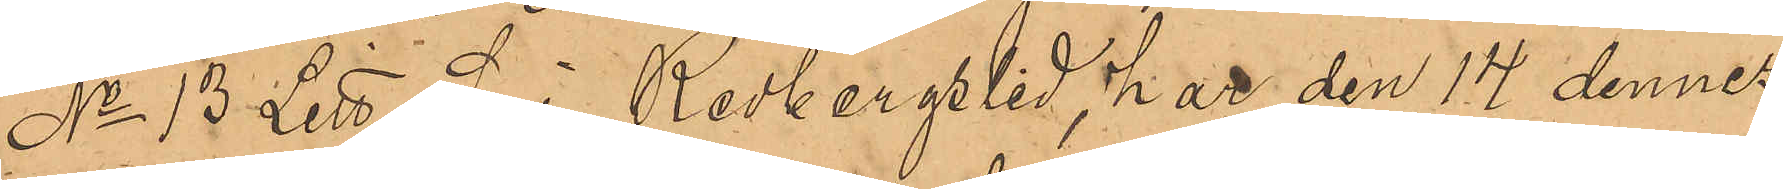No 13 Litt S i Redbergslid, har den 14 dennes
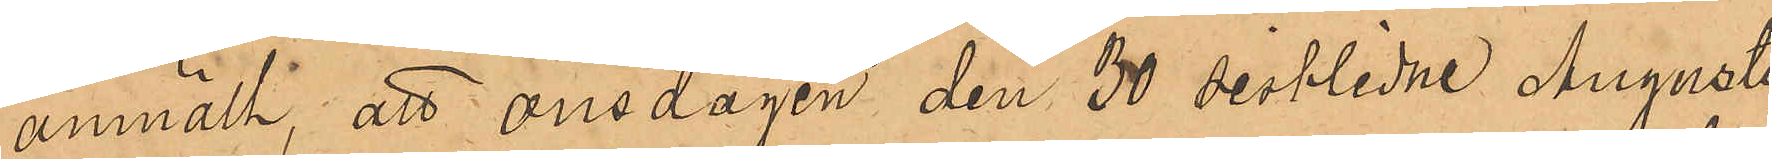anmält, att onsdagen den 30 sistlidne Augusti,
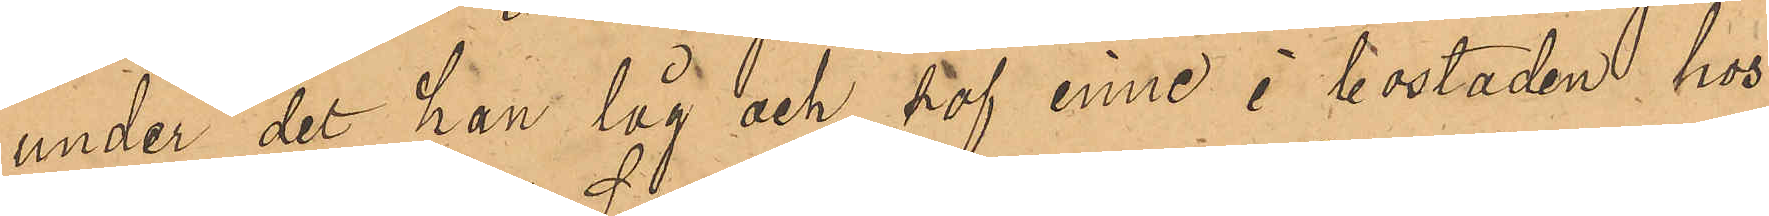under det han låg och sof inne i bostaden hos
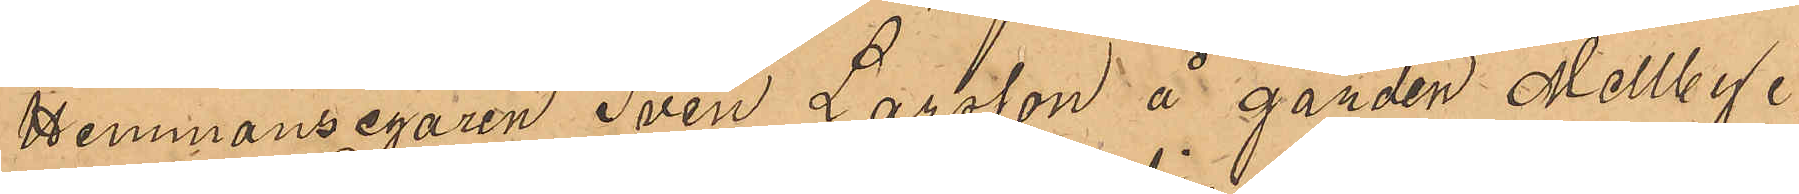Hemmansegaren Sven Larsson å gården Mellby
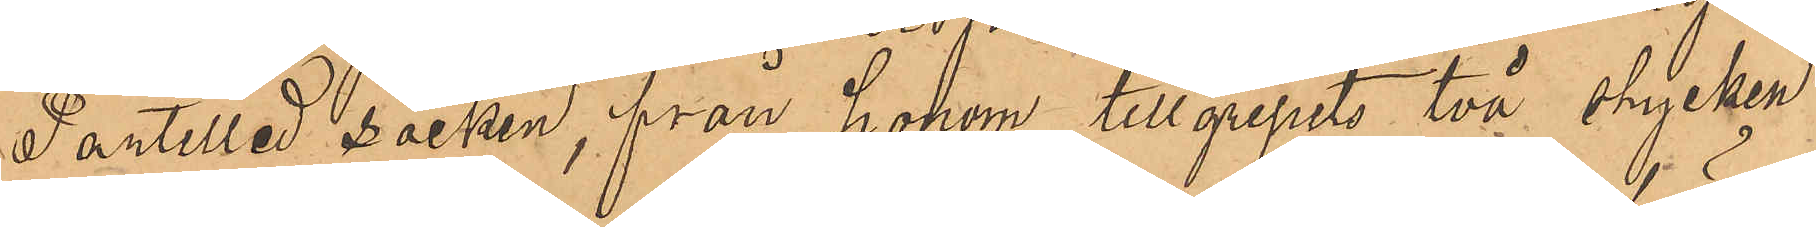Partilled socken, från honom tillgripits två stycken
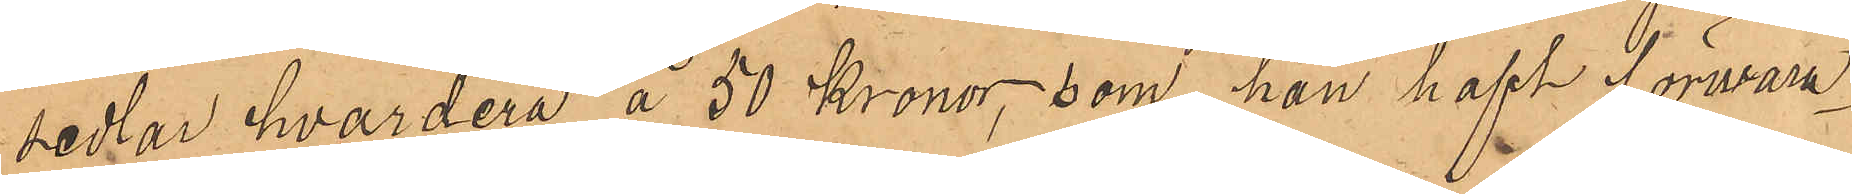sedlar hvardera å 50 Kronor, som han haft förvara¬
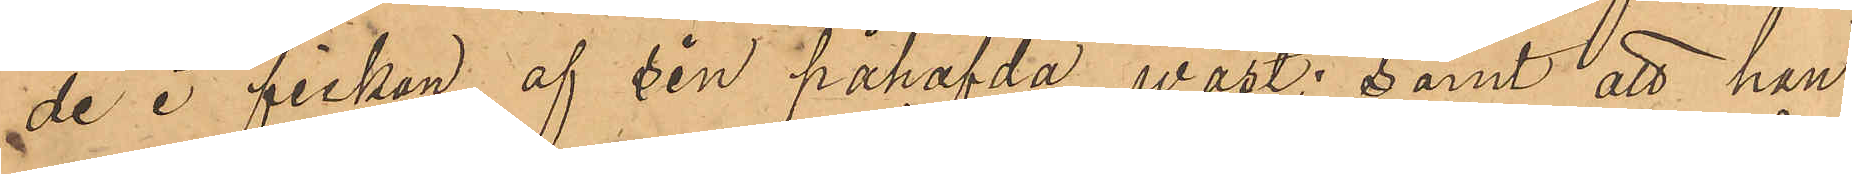de i fickan af sin påhafda väst; samt att han
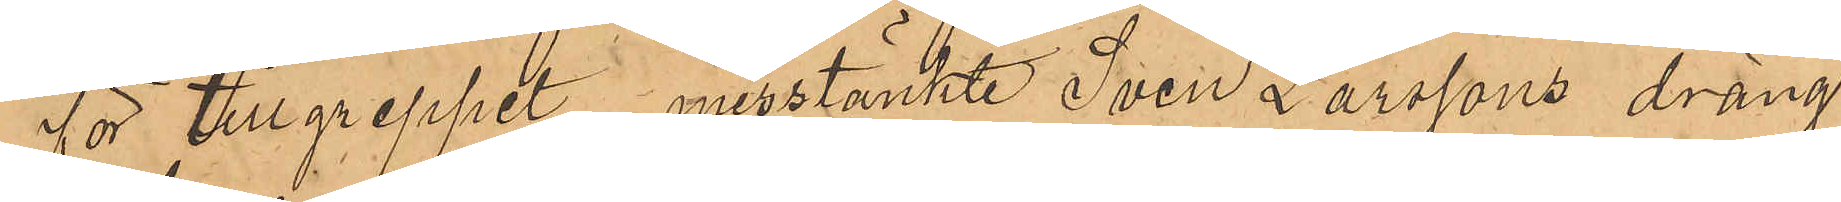för tillgreppet misstänkte Sven Larssons dräng
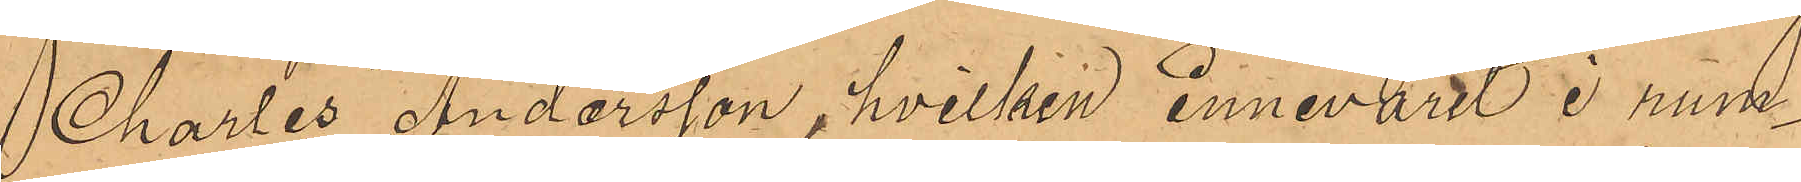Charles Andersson, hvilken innevarit i rum¬
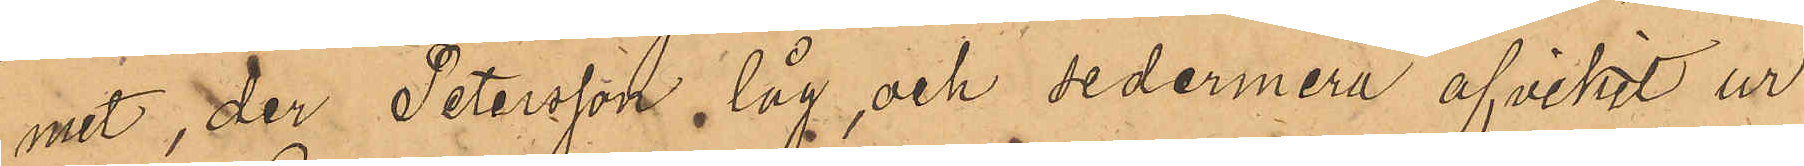met, der Petersson låg, och sedermera afvikit ur
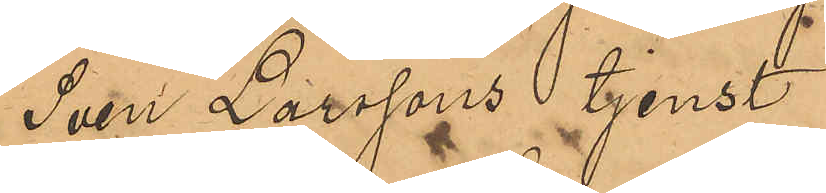Sven Larssons tjenst.
